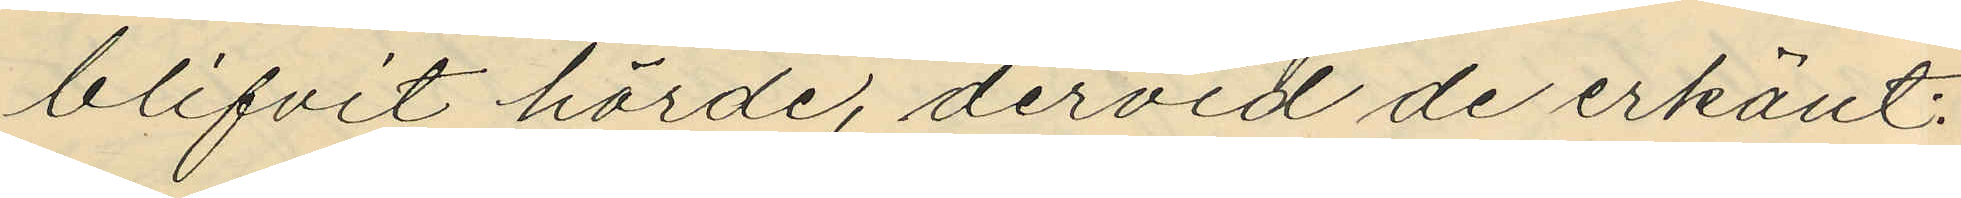blifvit hörde, dervid de erkänt:
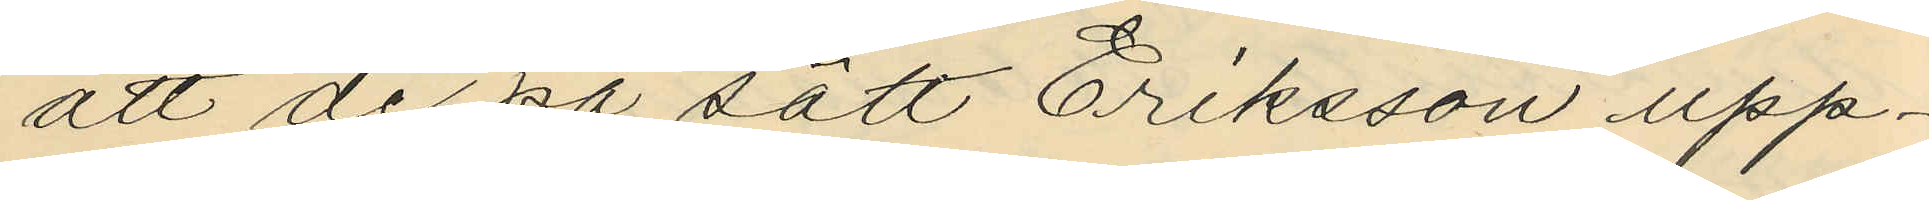att de på sätt Eriksson upp¬
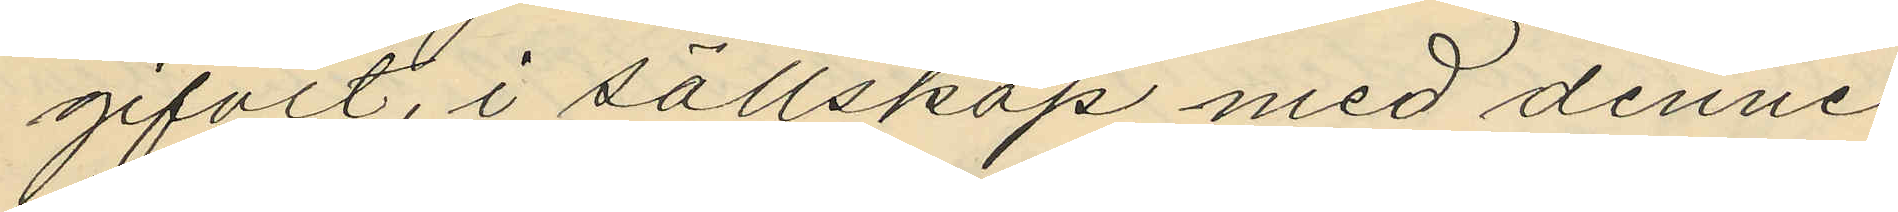gifvit, i sällskap med denne
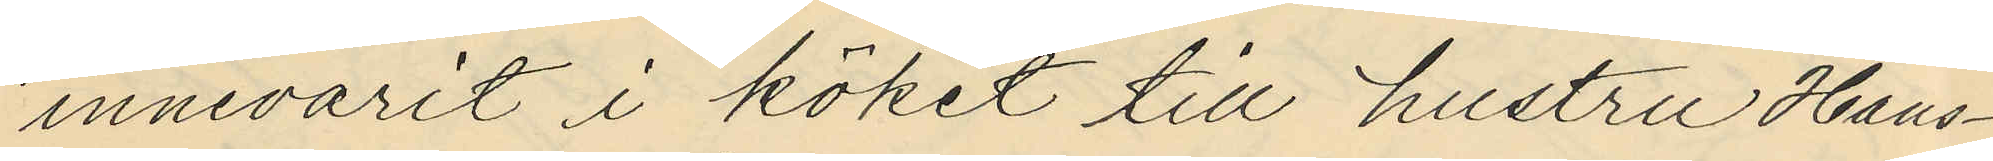innevarit i köket till hustru Hans¬
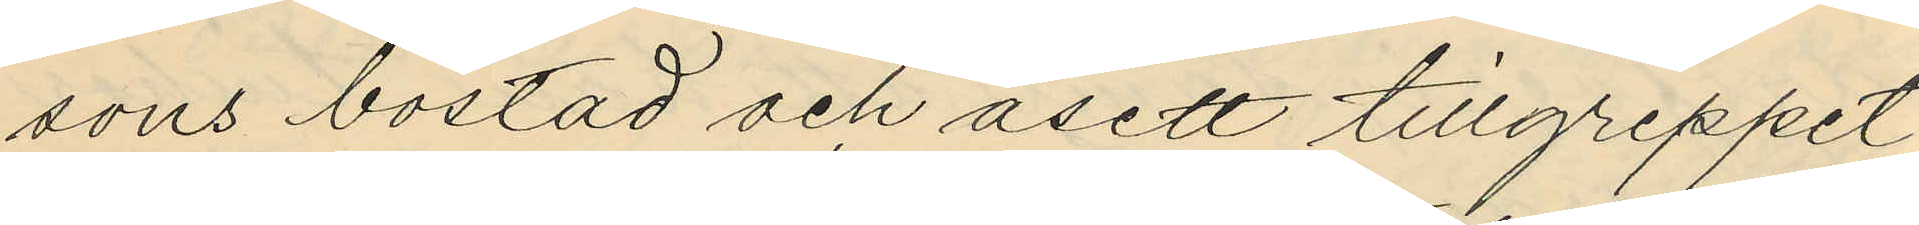sons bostad och åsett tillgreppet
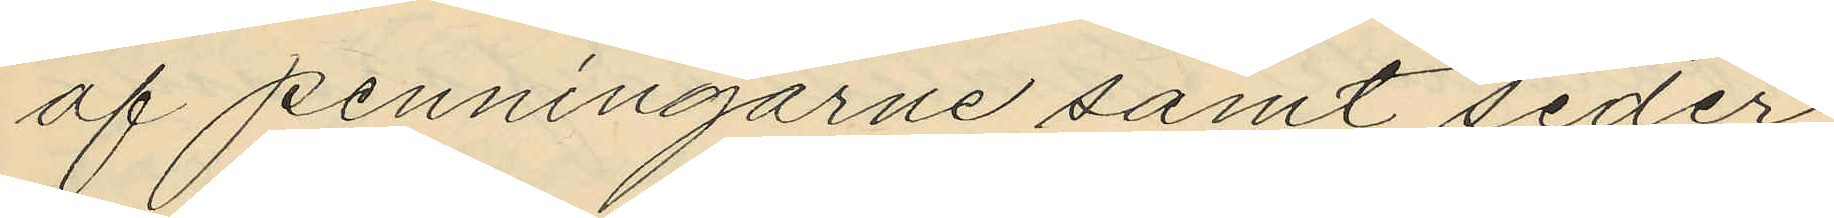af penningarne samt seder¬
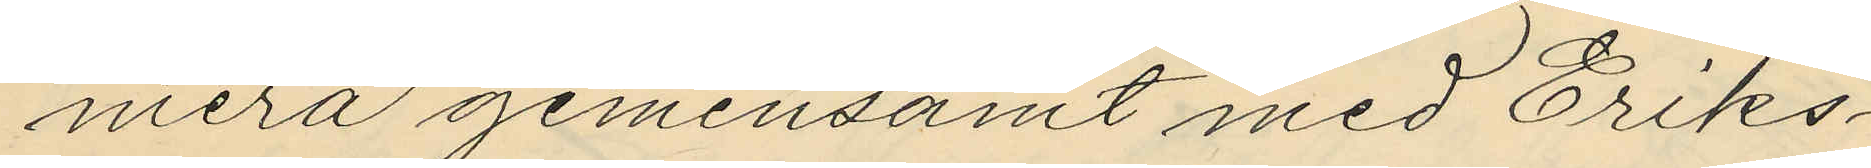mera gemensamt med Eriks¬
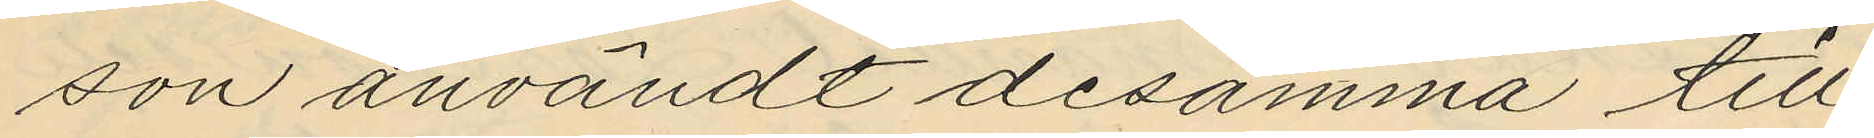son användt desamma till
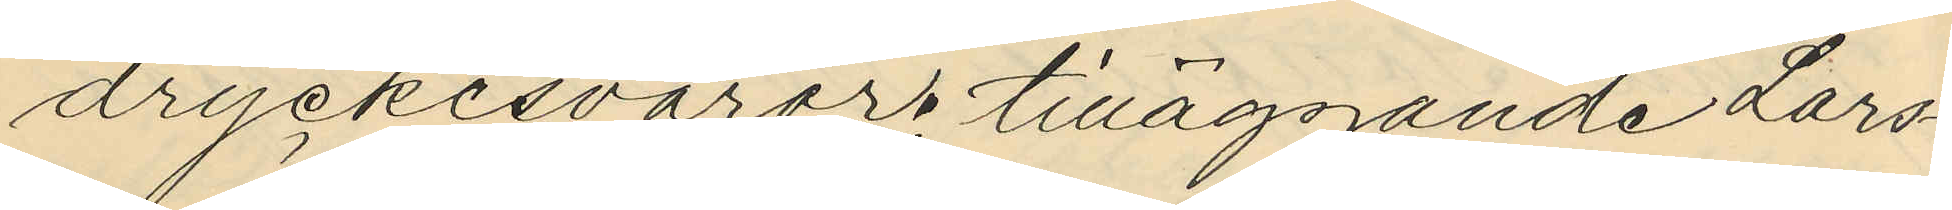dryckesvaror tilläggande Lars¬
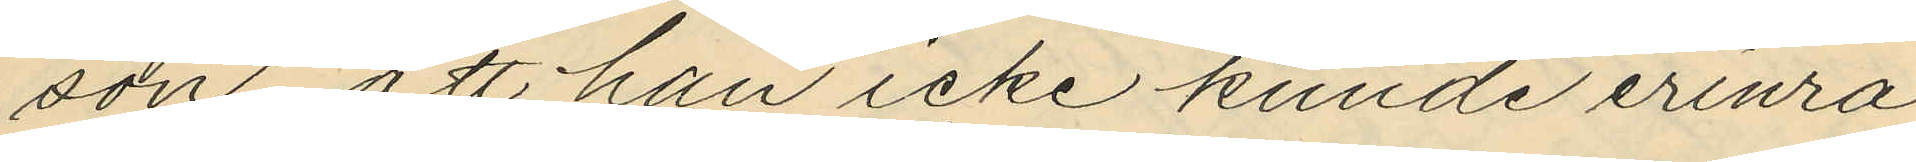son att han icke kunde erinra
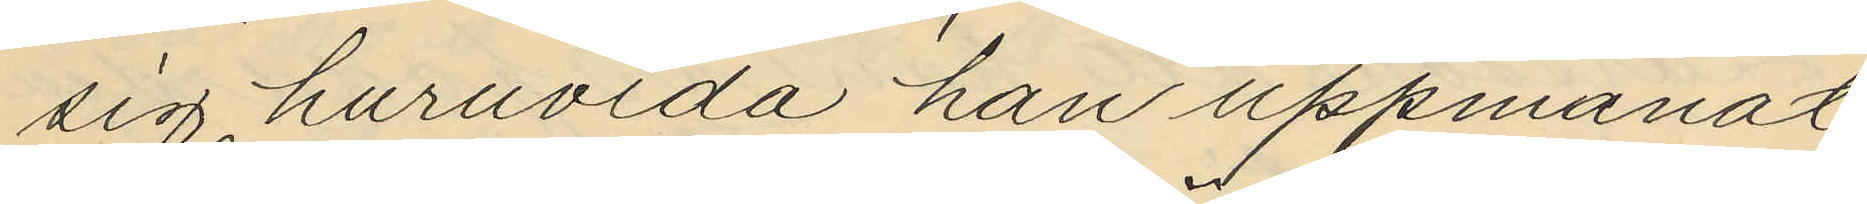sig huruvida han uppmanat
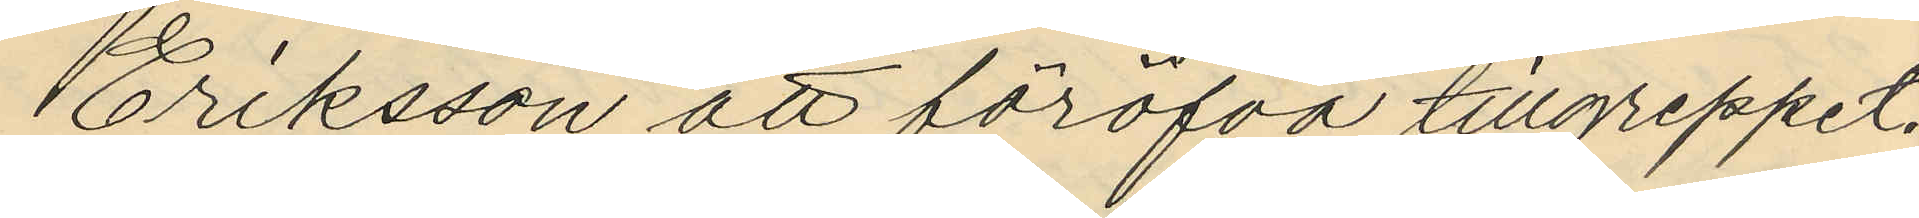Eriksson att föröfva tillgreppet,
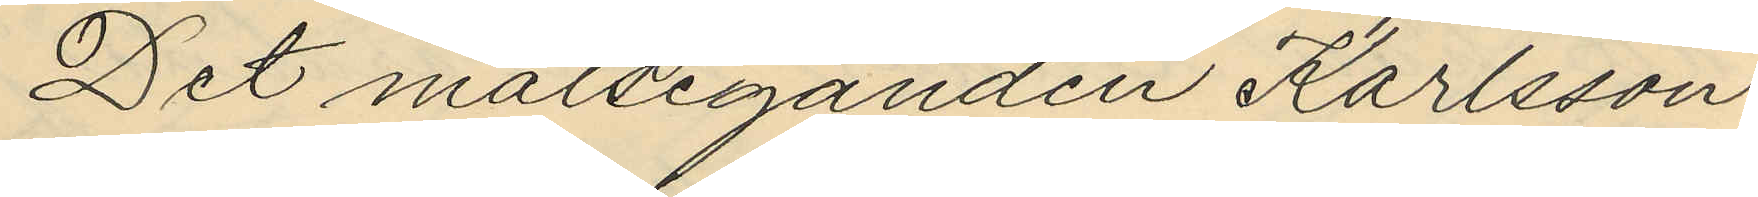Det målseganden Karlsson
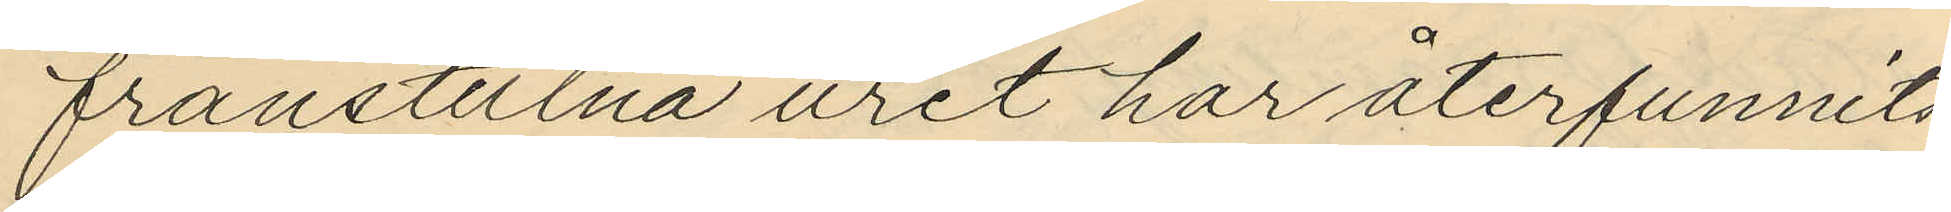frånstulna uret har återfunnits
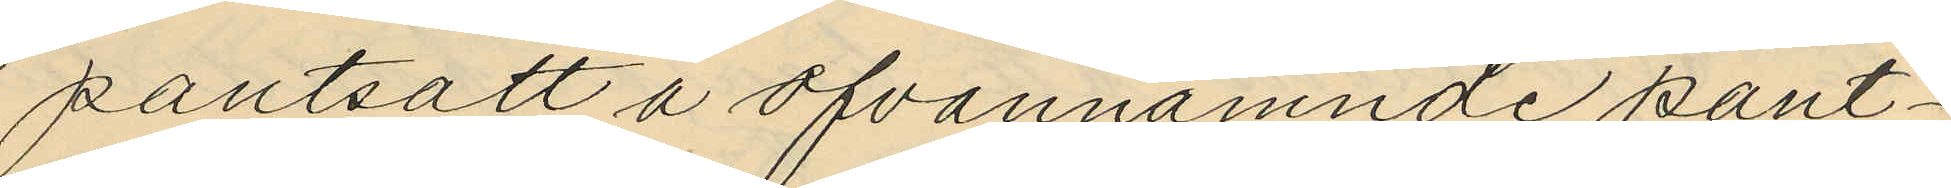pantsatt å ofvannämnde pant¬
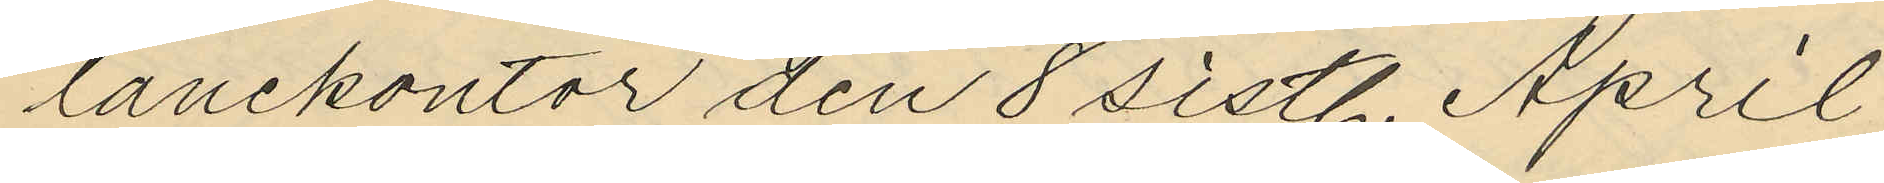lånekontor den 8 sistl. April
